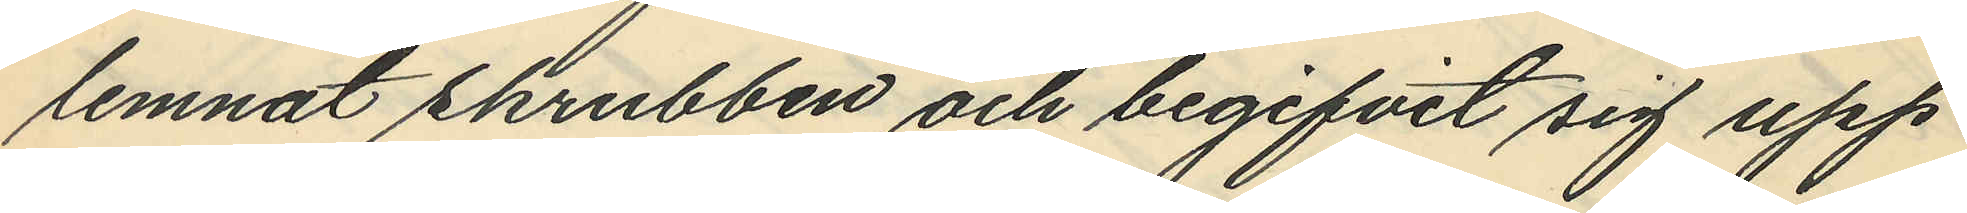lemnat skrubben och begifvit sig upp
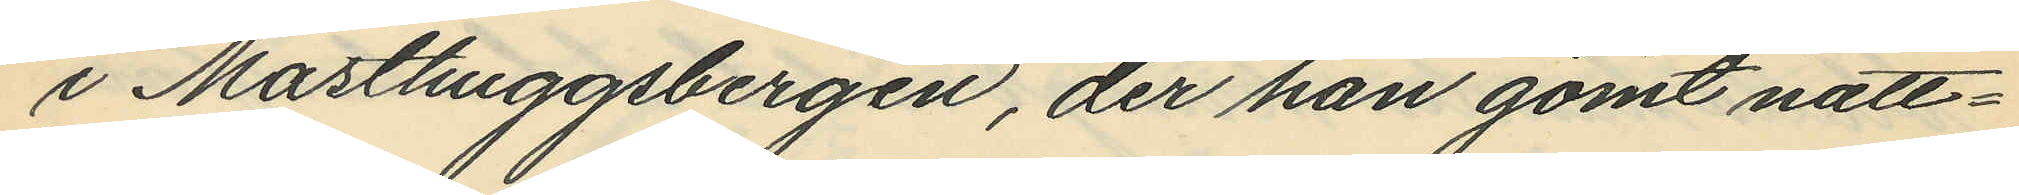i Masthuggsbergen, der han gömt natt¬
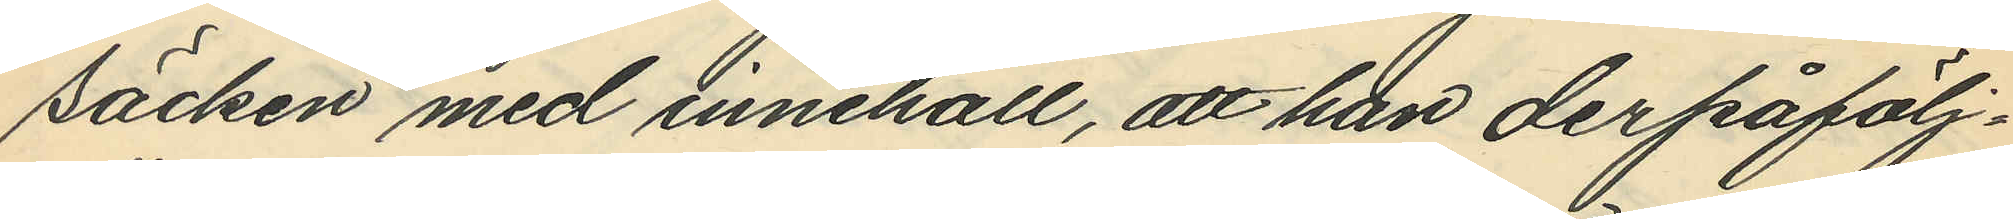säcken med innehåll, att han derpåfölj¬
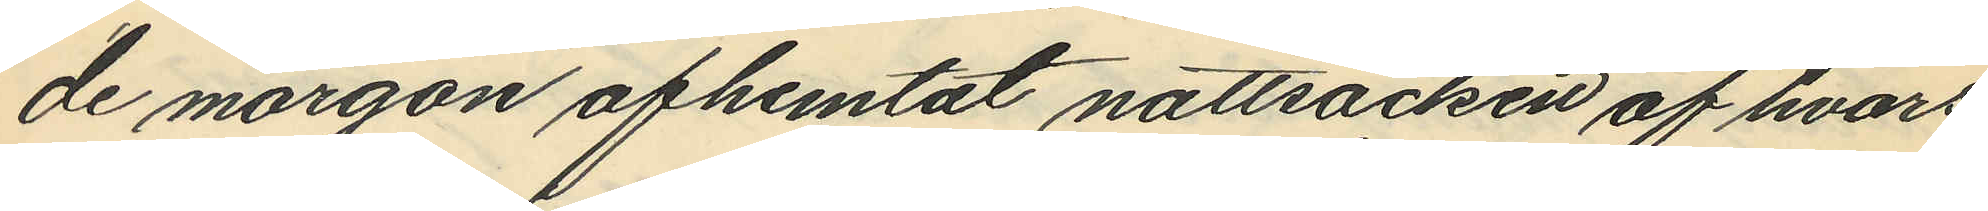de morgon afhemtat nattsäcken af hvars
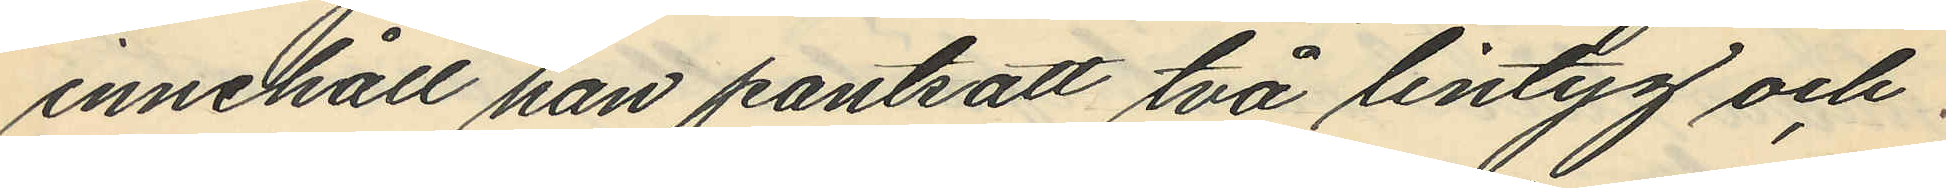innehåll han pantsatt två lintyg och
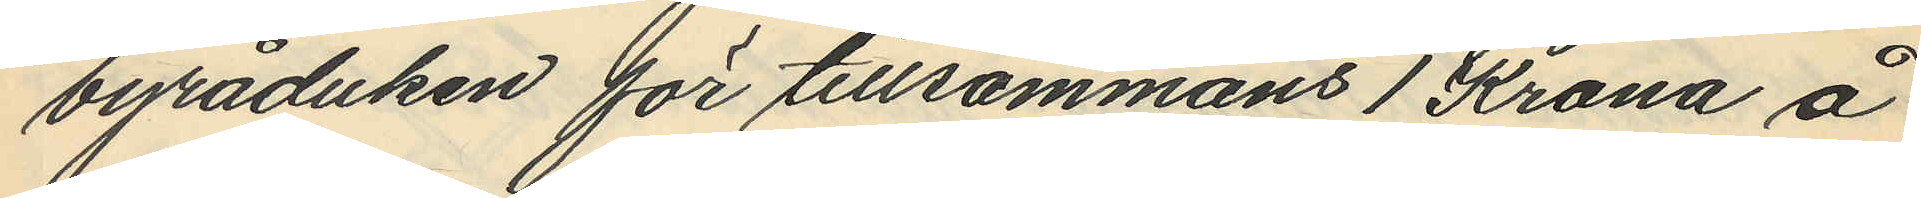byråduken för tillsammans 1 Krona å
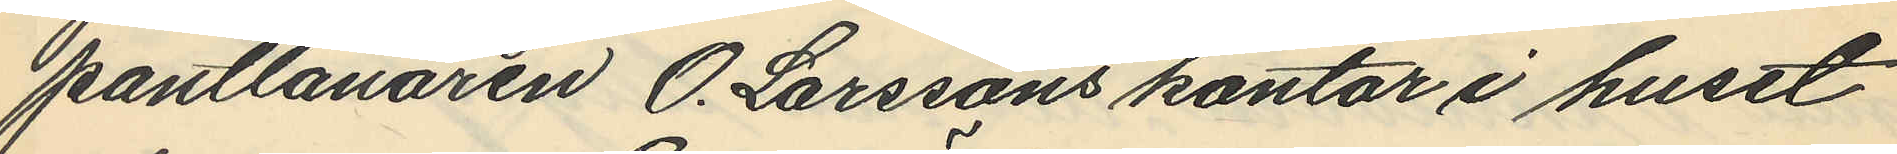pantlånaren O. Larssons kontor i huset
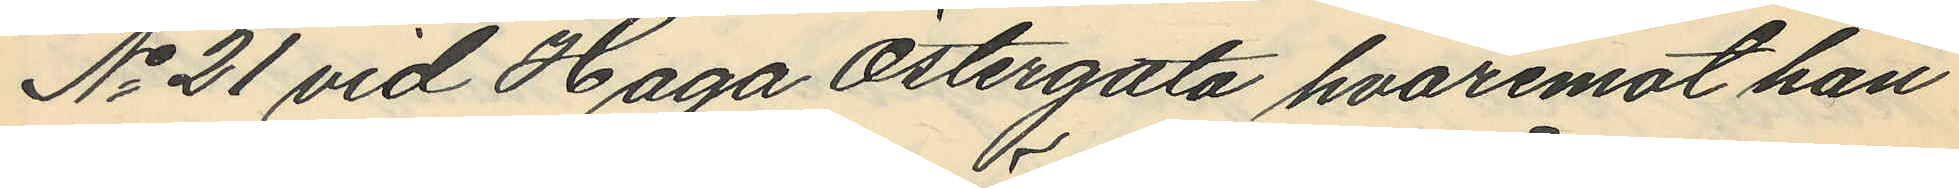No 21 vid Haga Östergata, hvaremot han
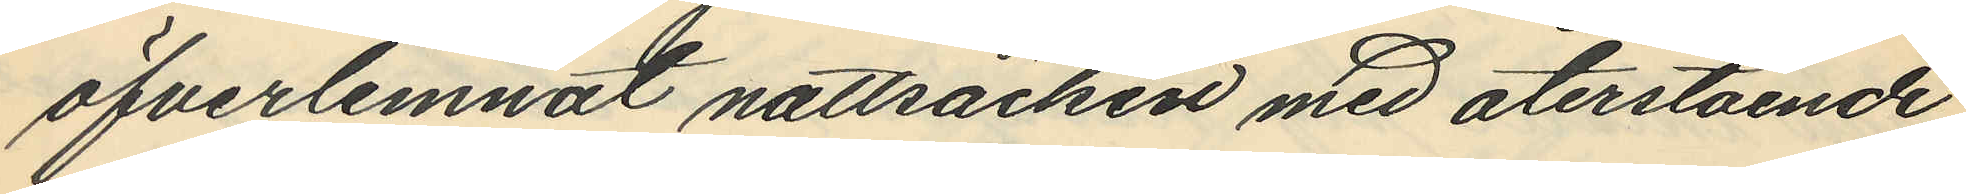öfverlemnat nattsäcken med återstående
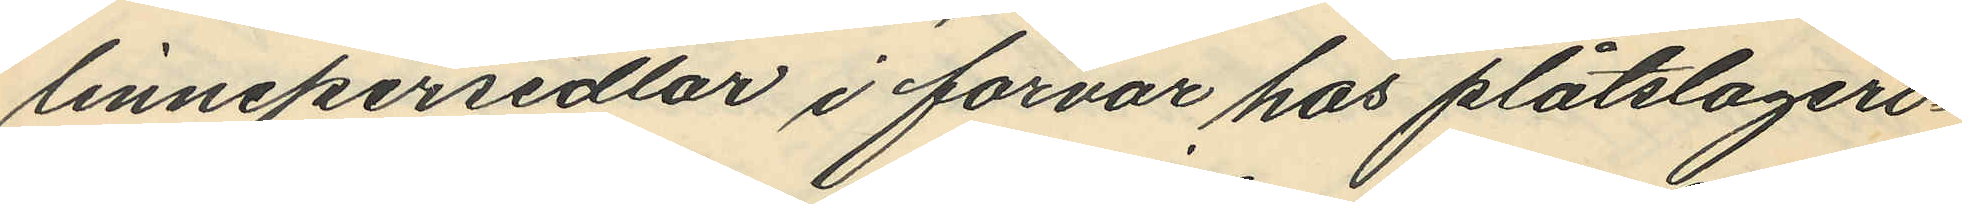linnepersedlar i förvar hos plåtslageri¬
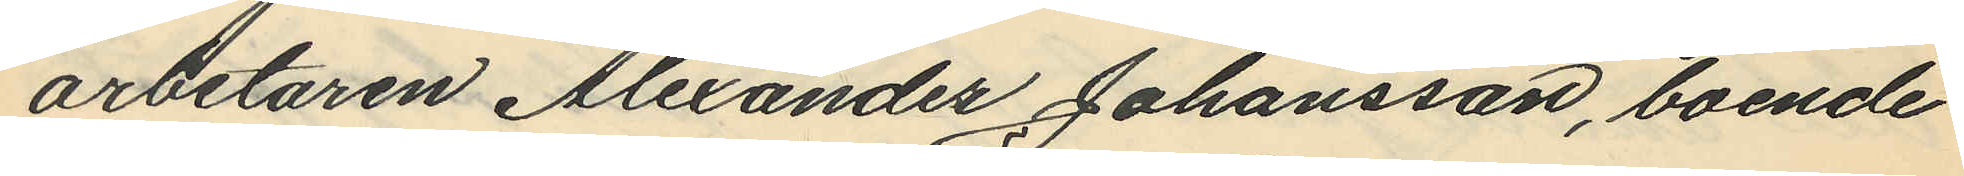arbetaren Alexander Johansson, boende
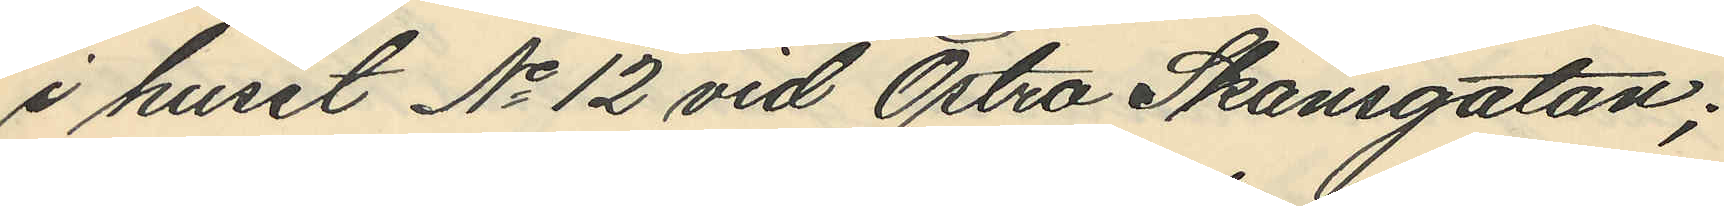i huset No 12 vid Östra Skansgatan;
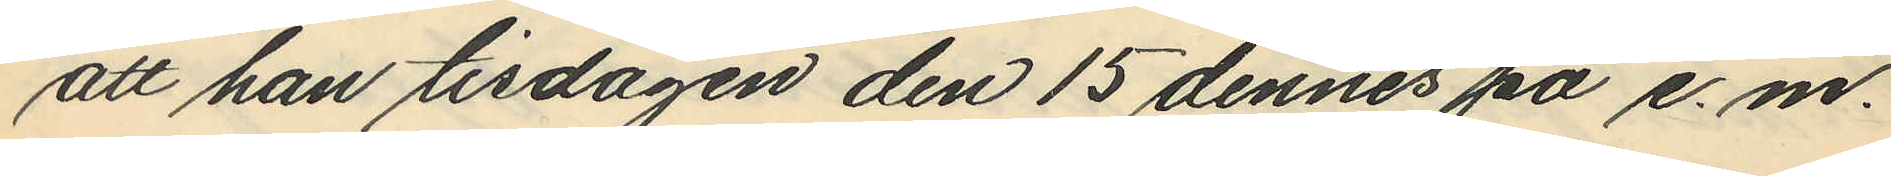att han tisdagen den 15 dennes på e. m.
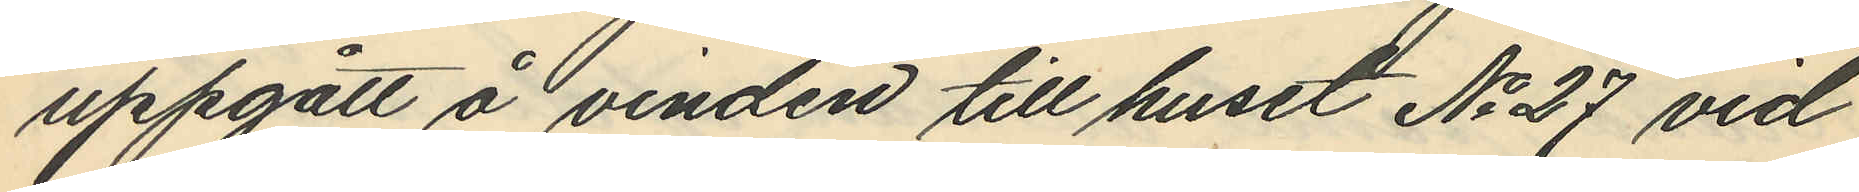uppgått å vinden till huset No 27 vid
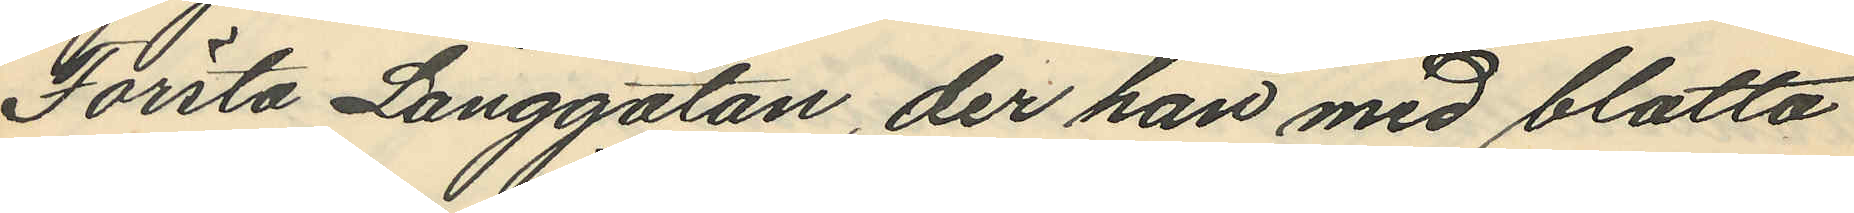Första Långgatan, der han med blotta
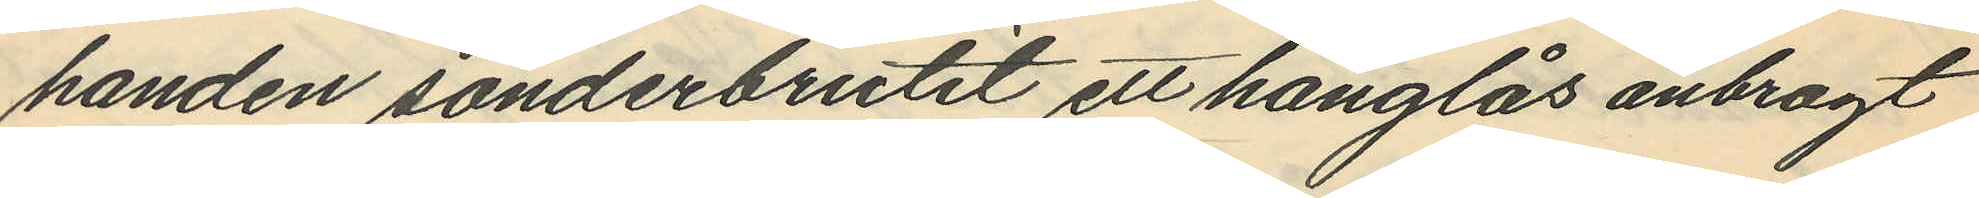handen sönderbrutit ett hänglås anbragt
